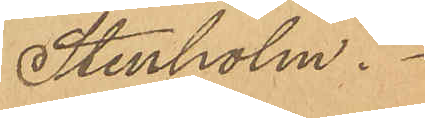Stenholm.
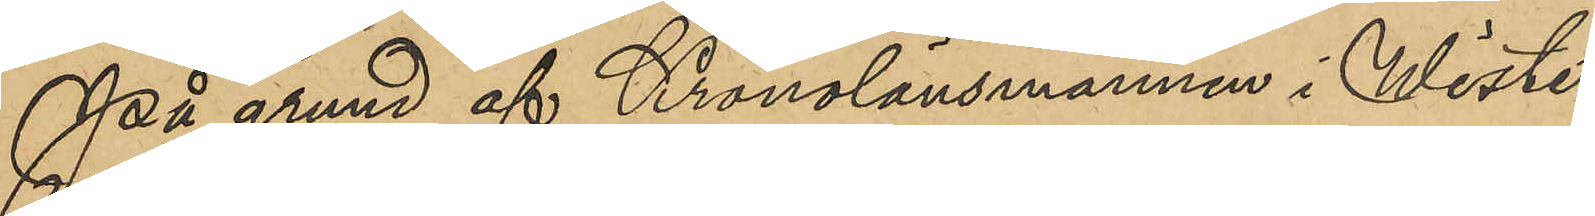På grund af Kronolänsmannen i Wiste
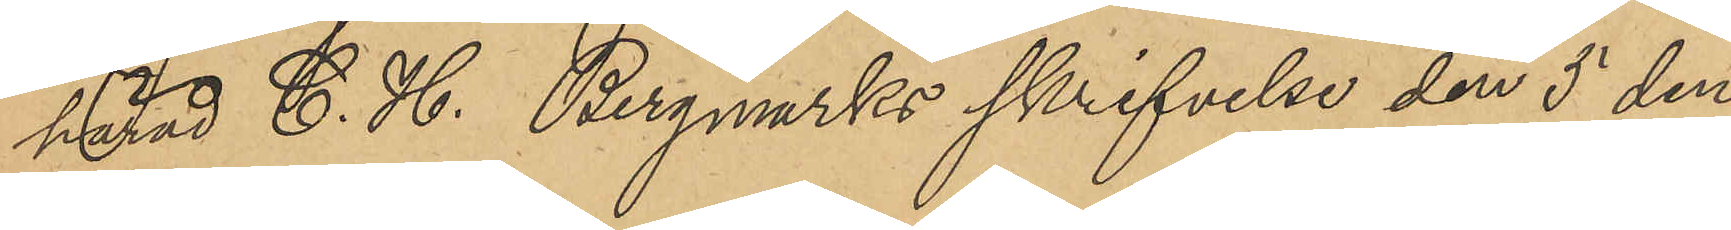härad C. H. Bergmarks skrifvelse den 5 den¬
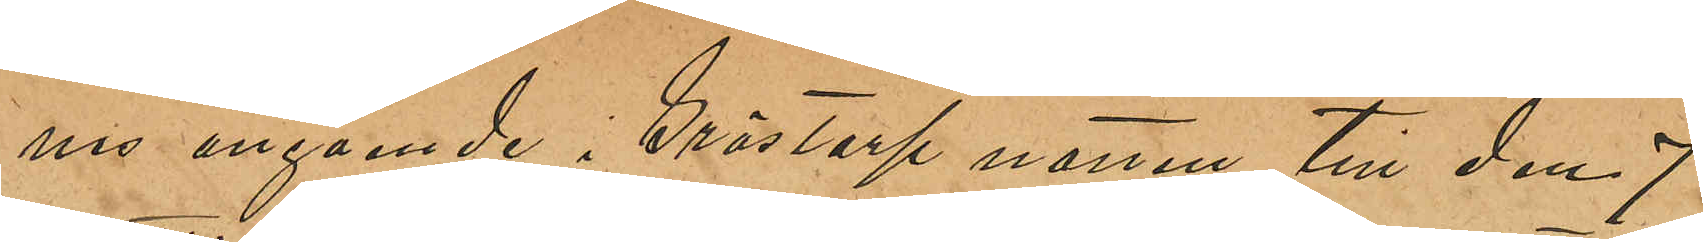nes angående i Grästorp natten till den 7
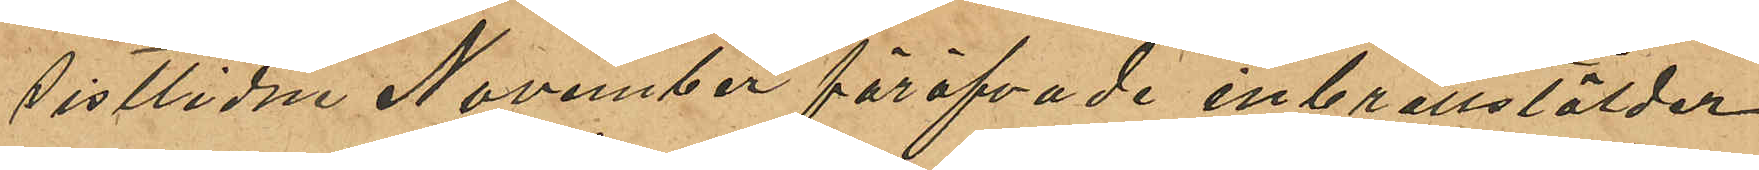sistlidne November föröfvade inbrottsstölder
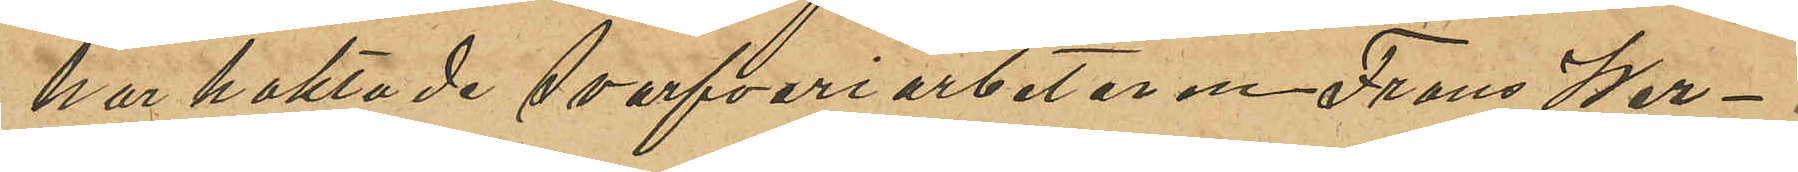har häktade Svarfveriarbetaren Frans Wer¬
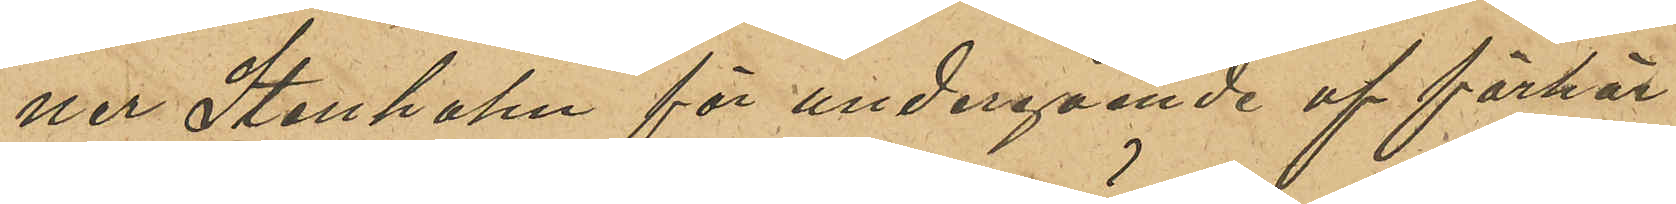ner Stenholm för undergående af förhör
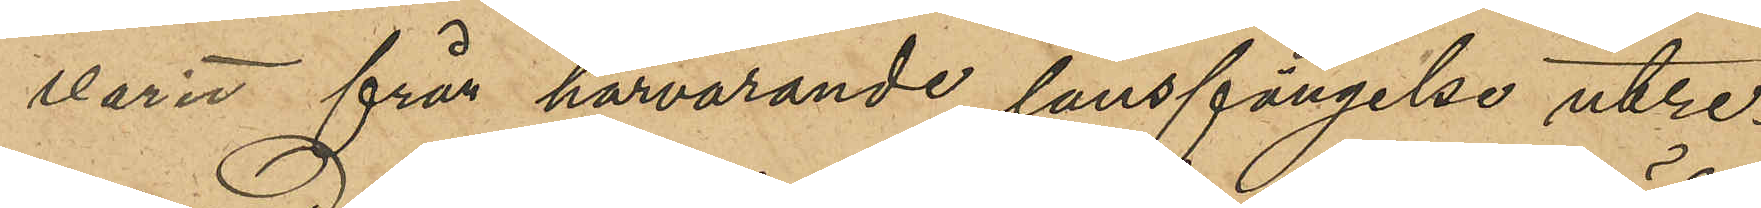varit från härvarande länsfängelse utre¬
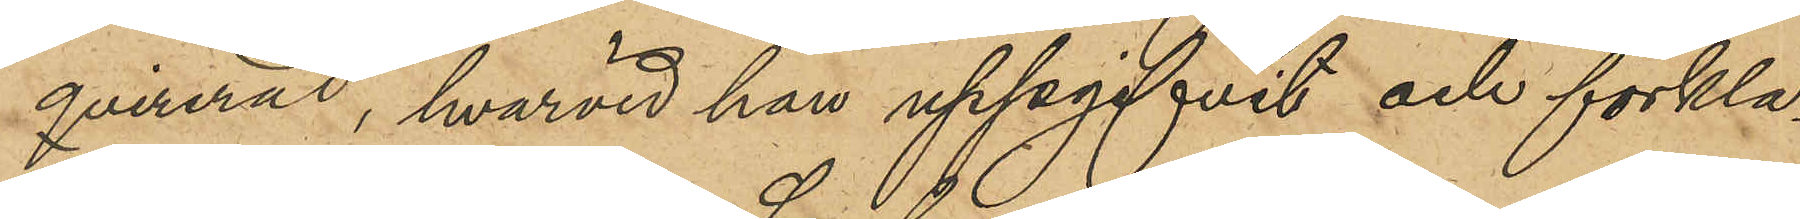qvirerad, hvarvid han uppgifvit och förkla¬
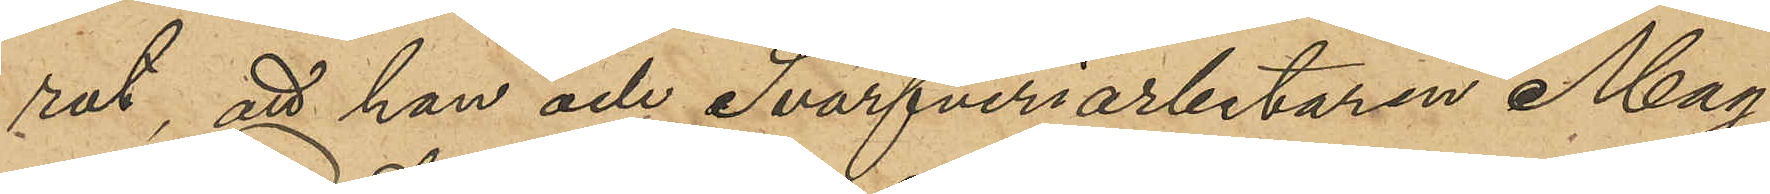rat, att han och Svarfveriarbetaren Mag¬
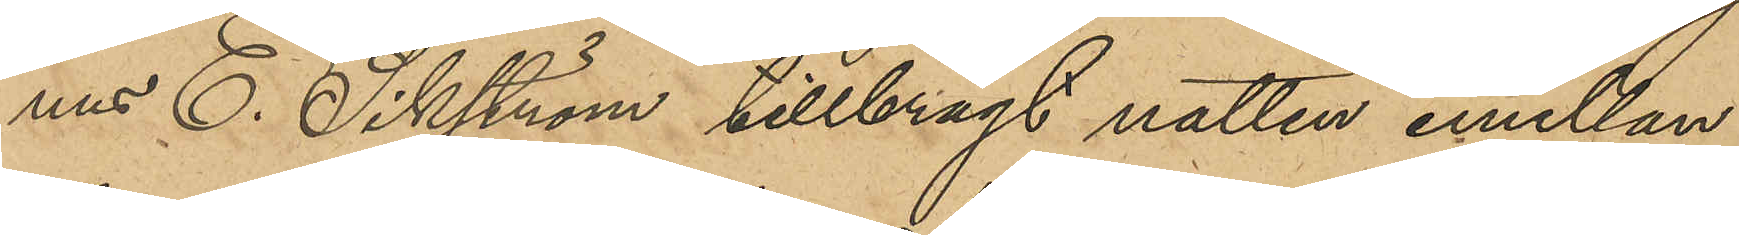nus E. Sikström tillbragt natten emellan
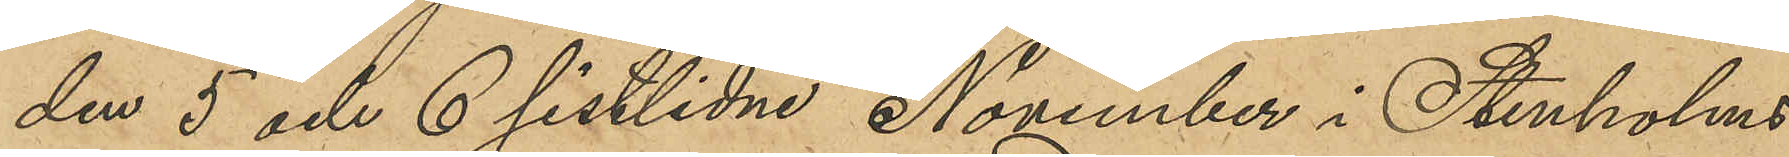den 5 och 6 sistlidne November i Stenholms
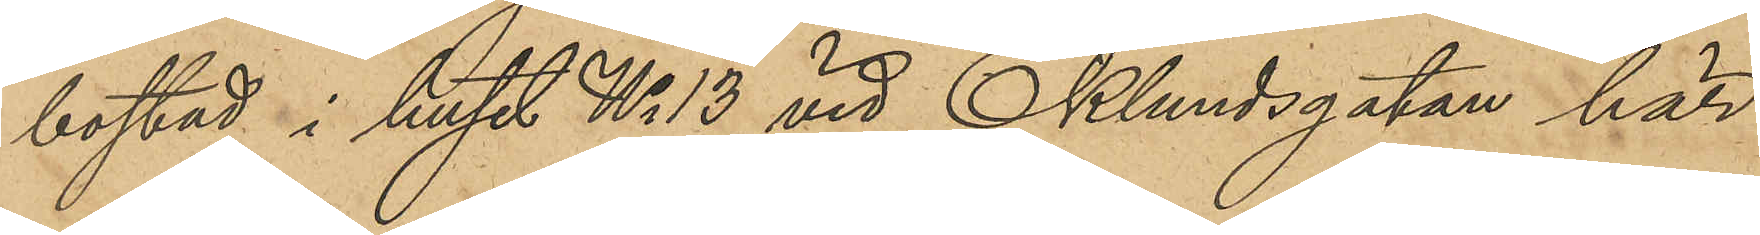bostad i huset No 13 vid Eklundsgatan här
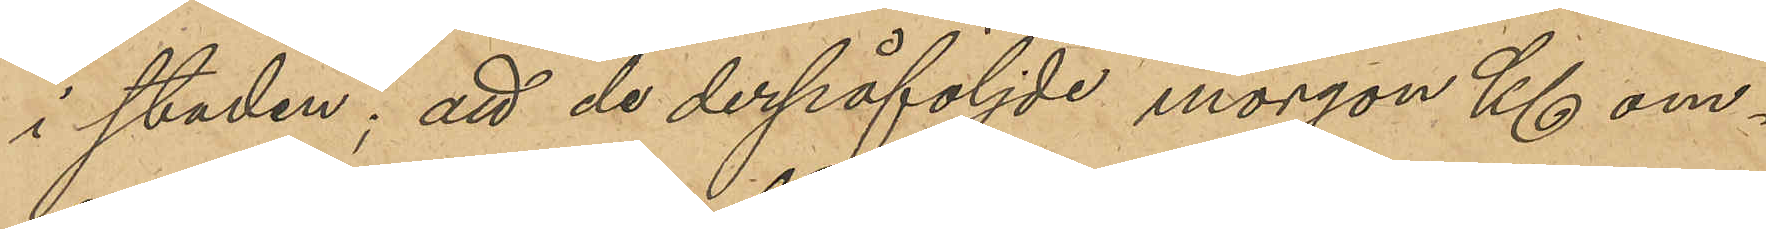i staden; att de derpåföljde morgon Kl om¬
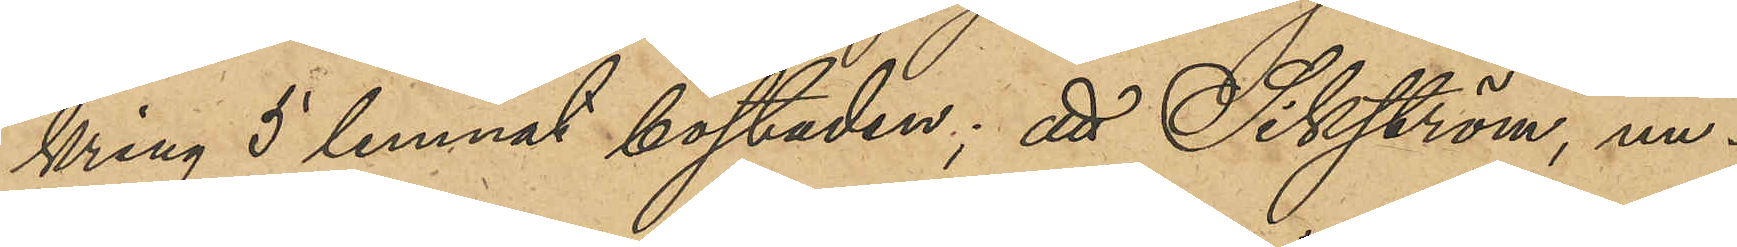kring 5 lemnat bostaden; att Sikström, un¬
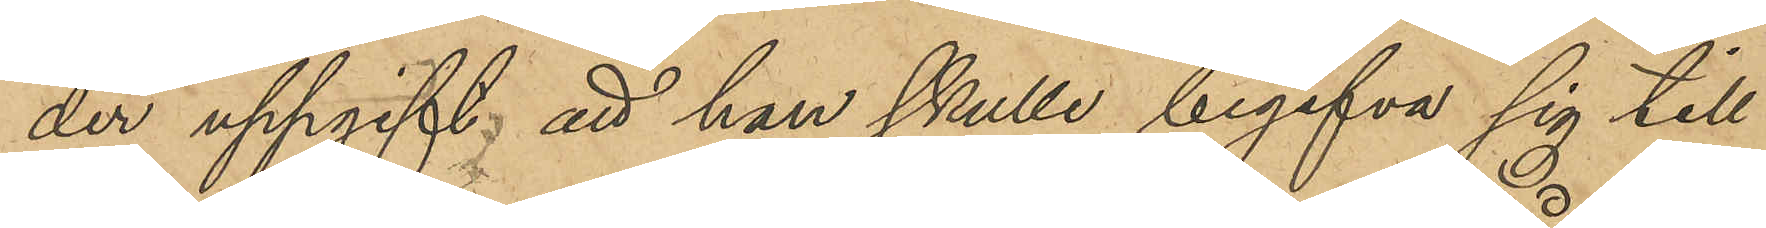der uppgift att han skulle begifva sig till
